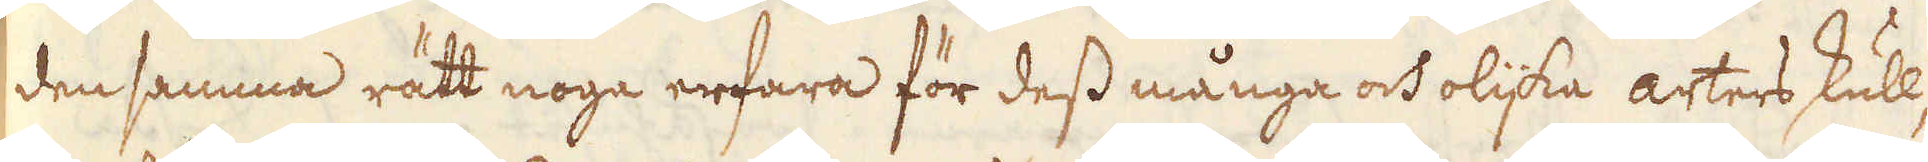den samma rätt noga erfara för dess många och olijka arters skull,
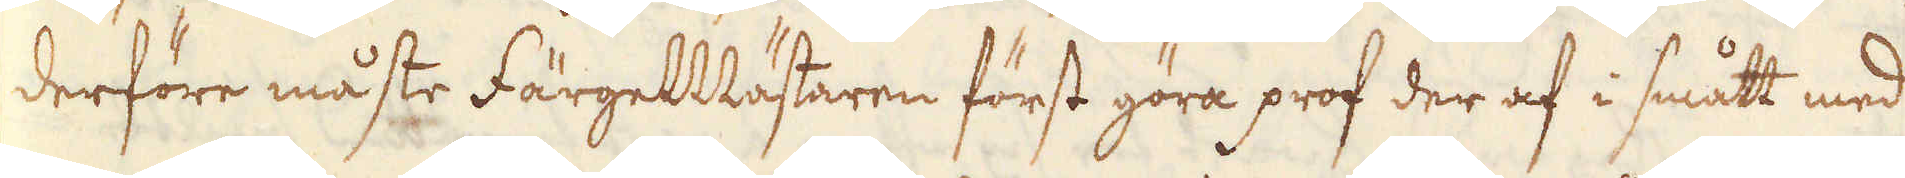derföre måste FärgeMästaren först göra prof der af i smått med
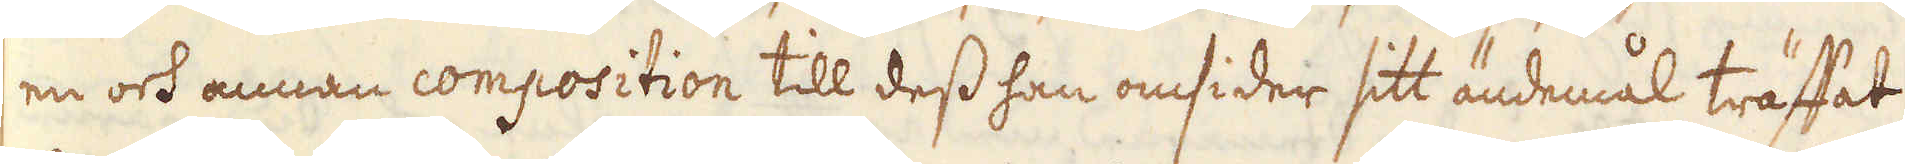en och annan composition till dess han omsider sitt ändemål träffat
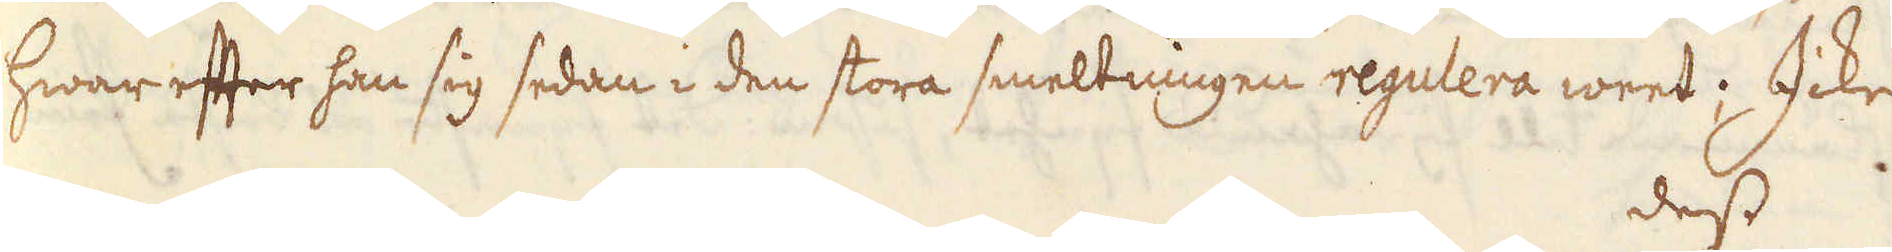hwar efter han sig sedan i den stora smeltningen regulera weet; Icke
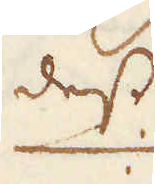dess
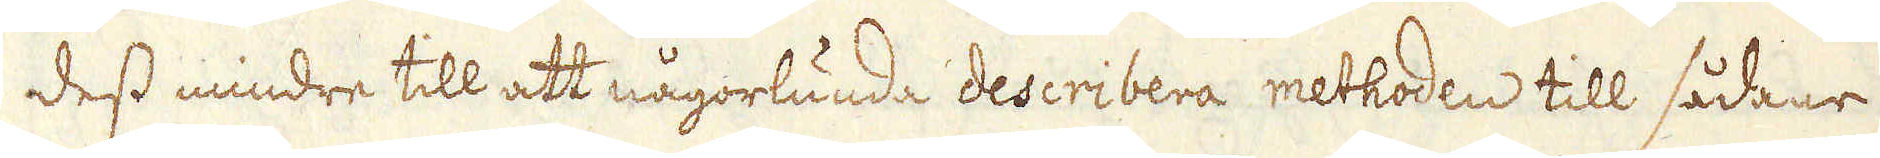dess mindre till att någorlunda describera methoden till sådane
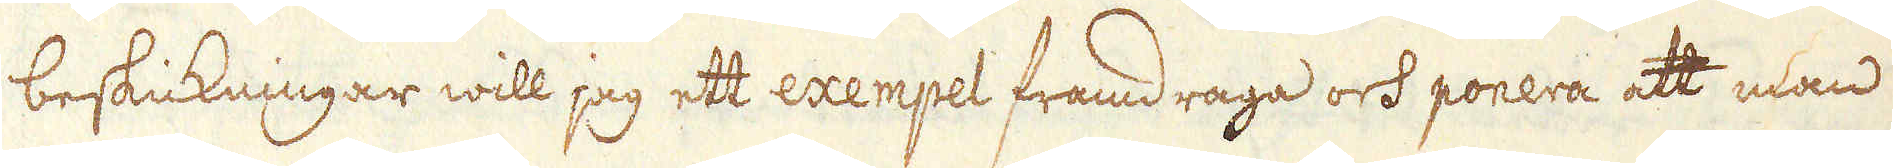beskickningar will jag ett exempel framdraga och ponera att man
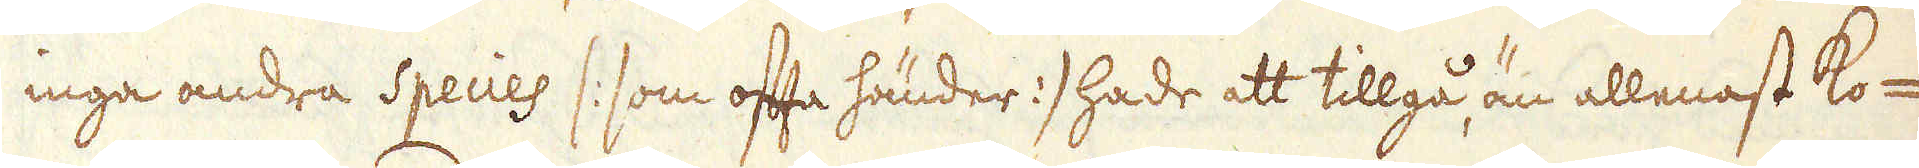inga andra Species /: som ofta händer :/ hade att tillgå, än allenast Ko-
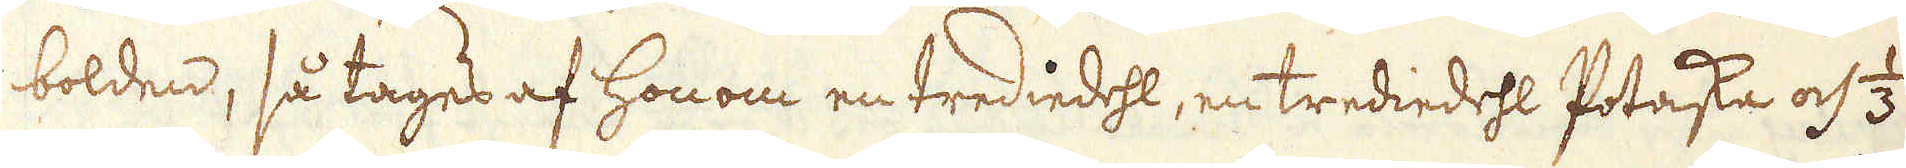bolden, så tages af honom en trediedehl, en trediedehl Potaska och 1/3
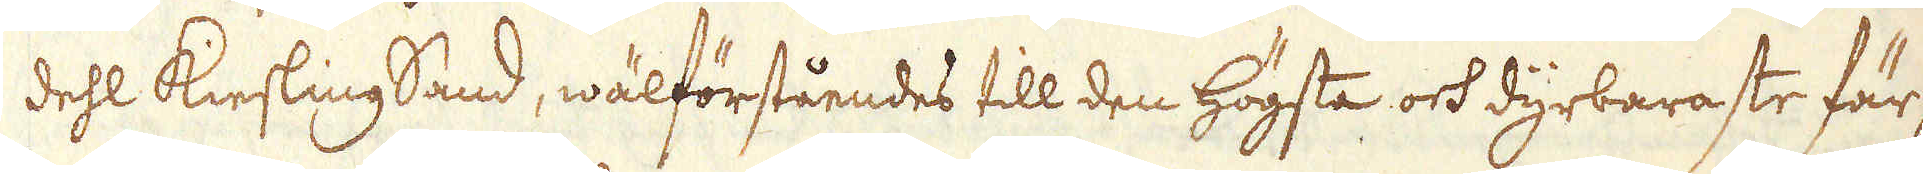dehl KieslingSand, wälförståendes till den högsta och dyrbaraste fär-
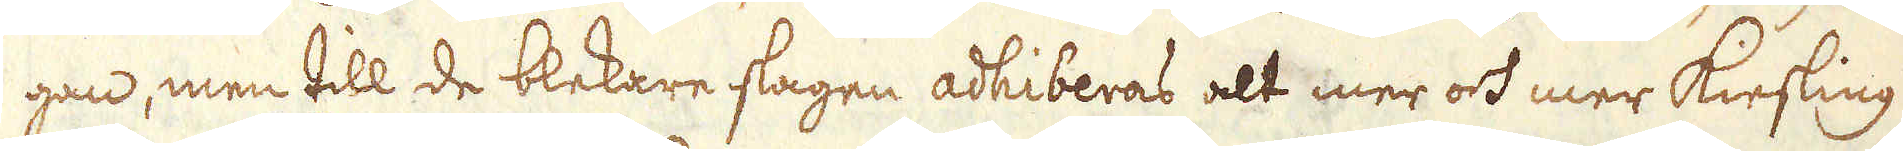gan, men till de blekare slagen adhiberas alt mer och mer Kiesling
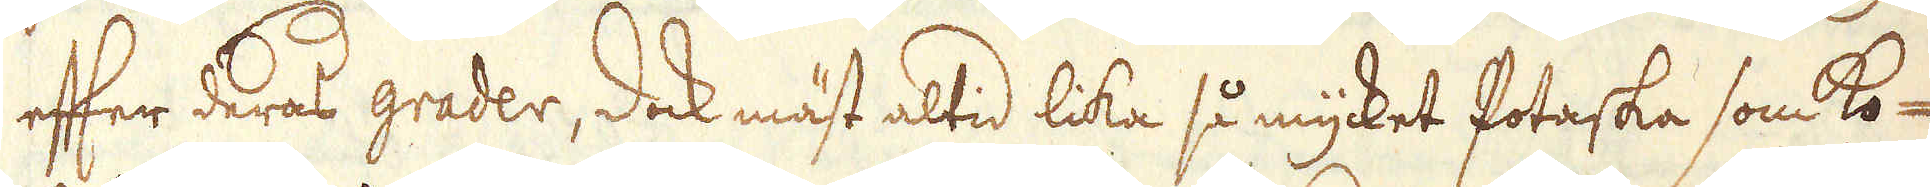efter deras grader, dock mäst altid lika så mycket Potaska som Ko-
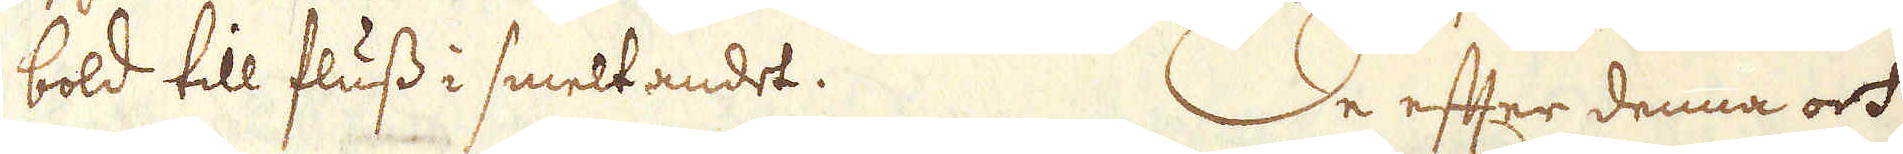bold till fluss i smeltandet. De efter denna och
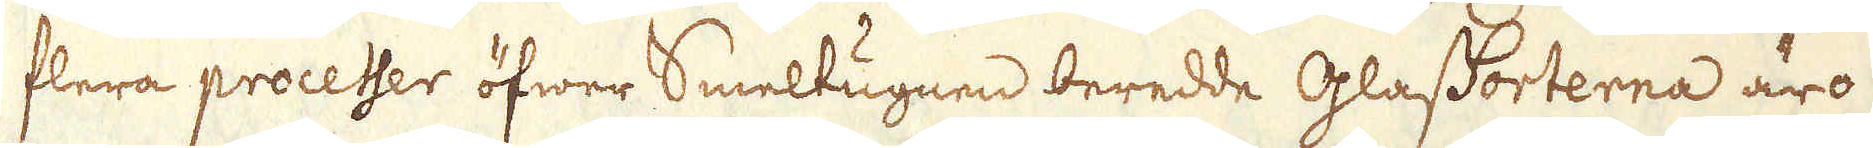flera processer öfwer Smeltugnen beredde GlasSorterna äro
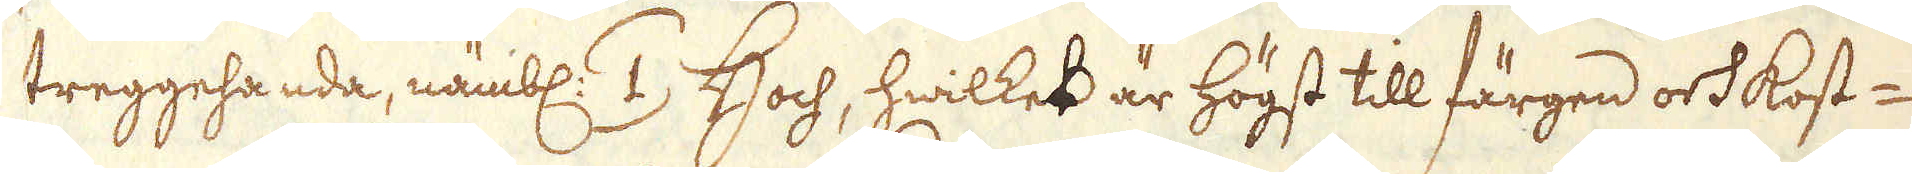treggehanda, nämbl: /1/ Hoch, hwilket är högst till färgen och kost-
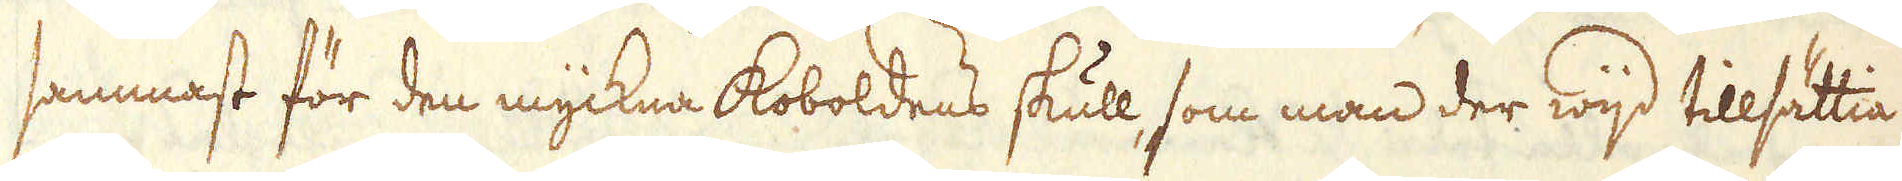sammast för den myckna Koboldens skull, som man der wijd tillsättia
